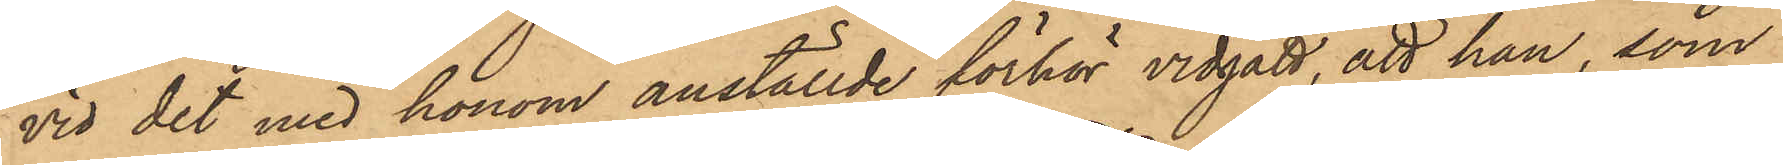vid det med honom anställde förhör vidgått, att han, som
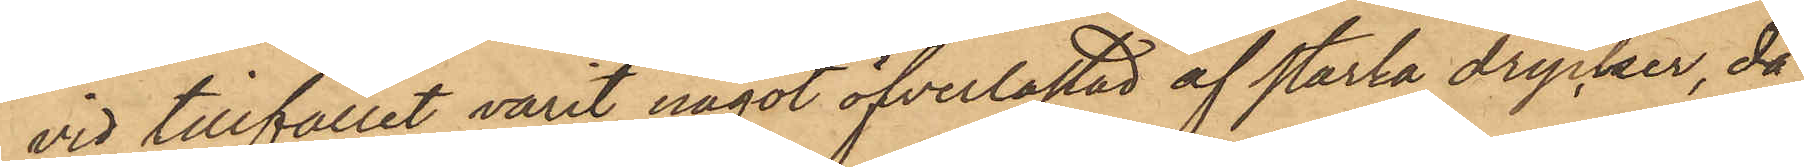vid tillfället varit något öfverlastad af starka drycker, då
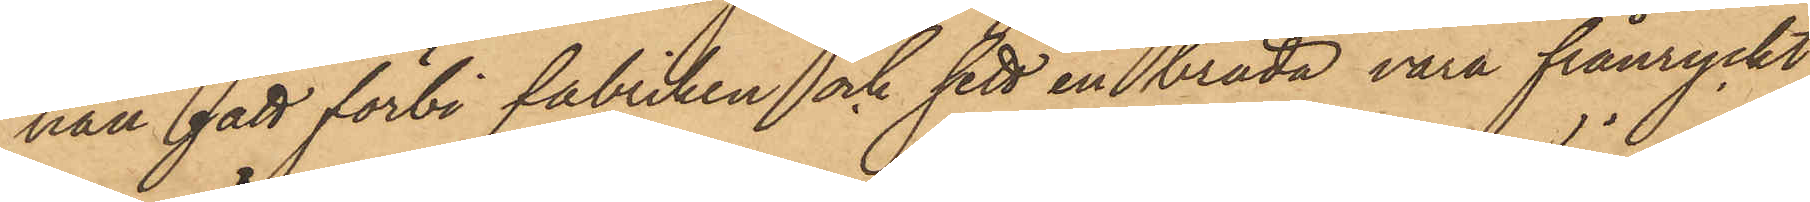han gått förbi fabriken och sett en bräda vara frånryckt
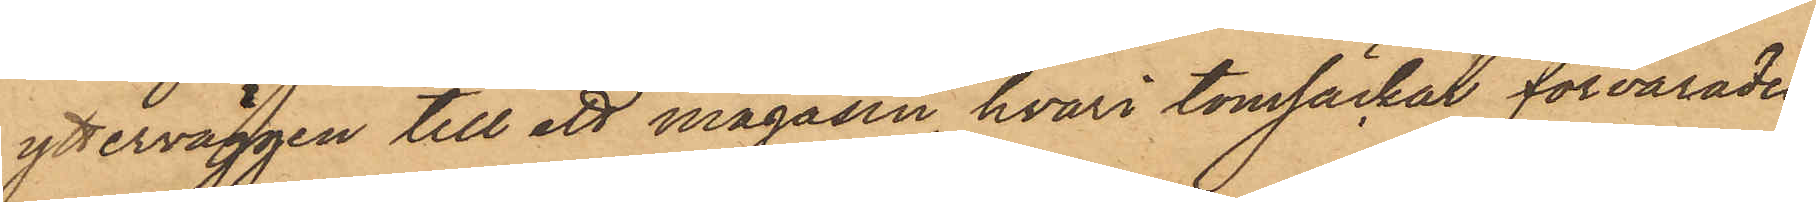ytterväggen till ett magasin, hvari tomsäckar förvarades,
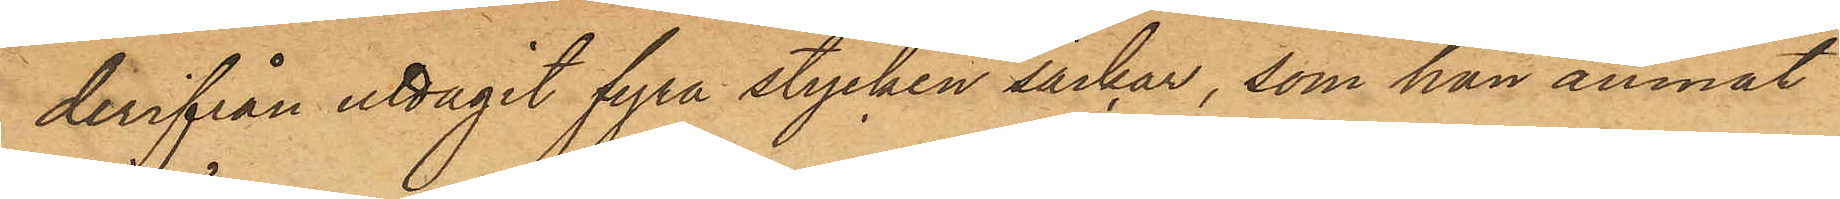derifrån uttagit fyra stycken säckar, som han ämnat
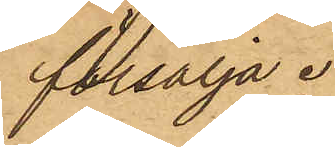försälja.
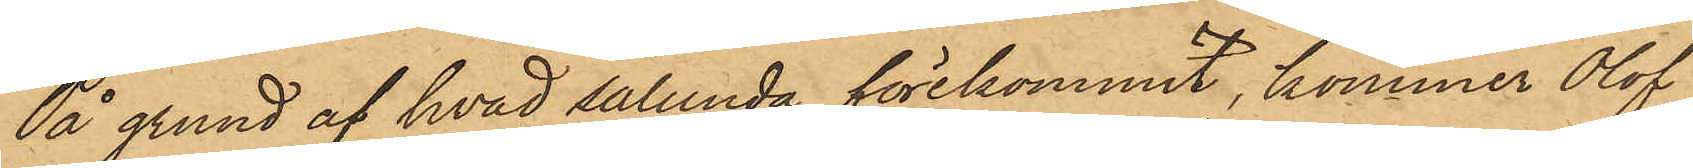På grund af hvad sålunda förekommit, kommer Olof
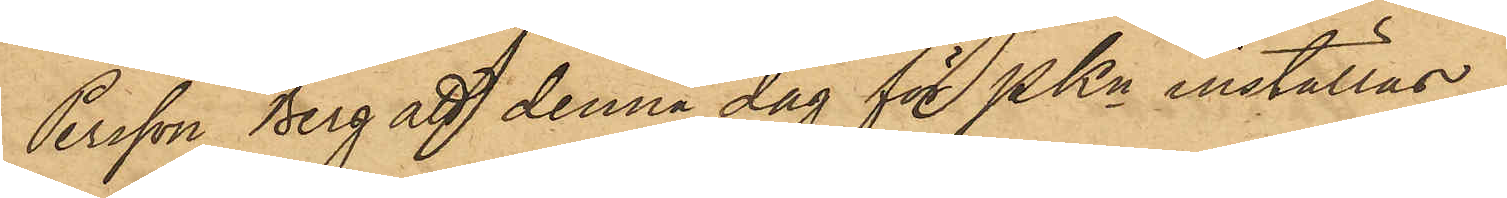Persson Berg att denna dag för PKn inställas.
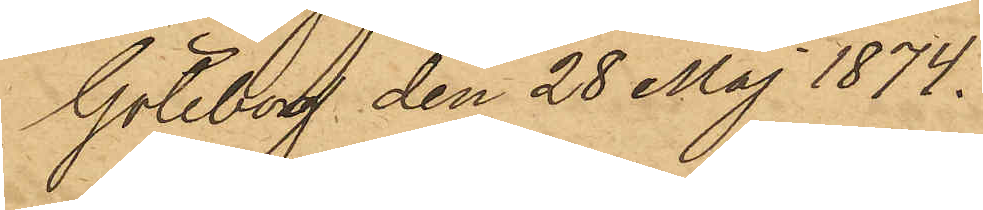Göteborg den 28 Maj 1874.
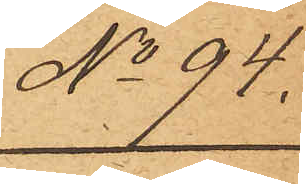No 94.
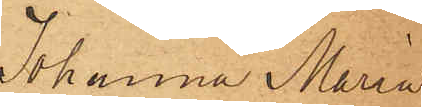Johanna Maria
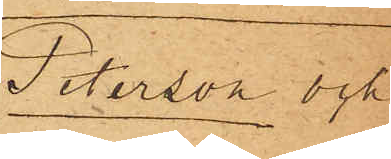Peterson och
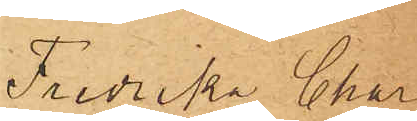Fredrika Char¬
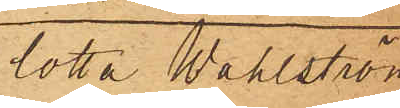lotta Wahlström
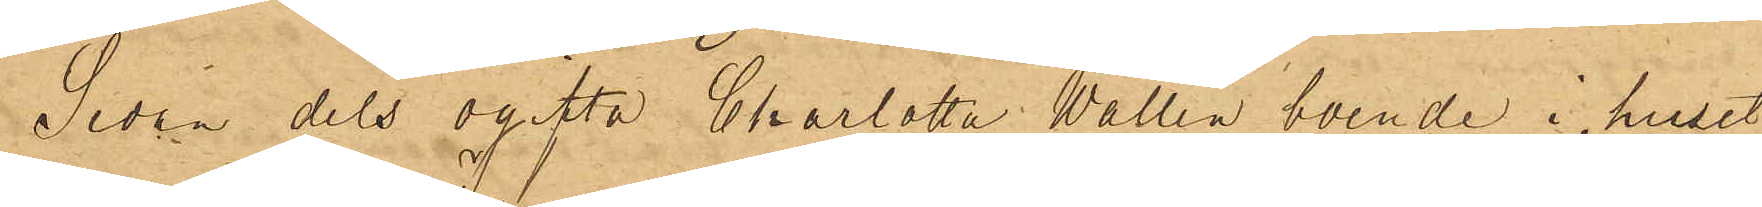Sedan dels ogifta Charlotta Wallin boende i huset
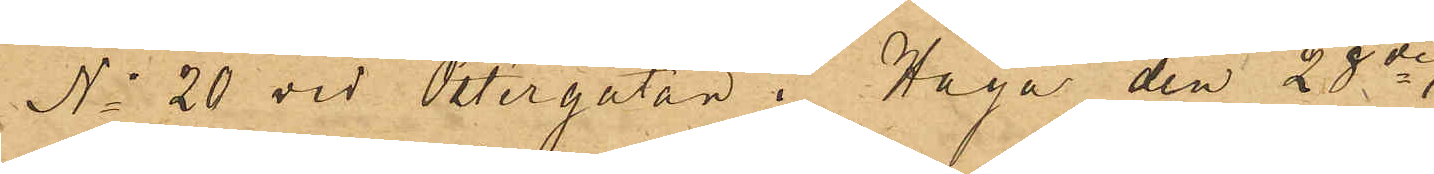No 20 vid Östergatan i Haga den 28de
